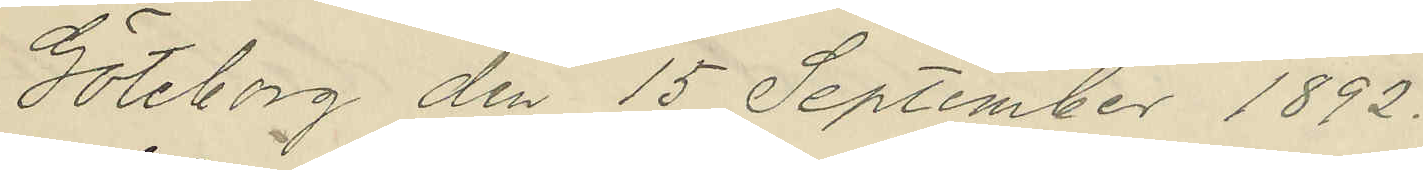Göteborg den 15 September 1892.
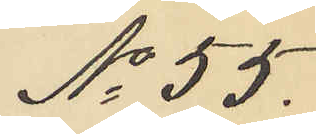No 55.
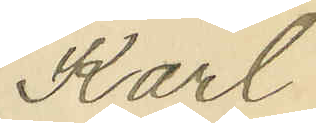Karl
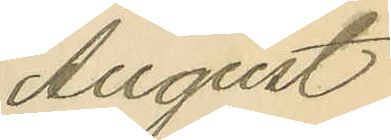August
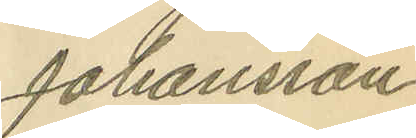Johansson
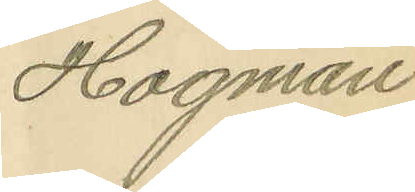Högman.
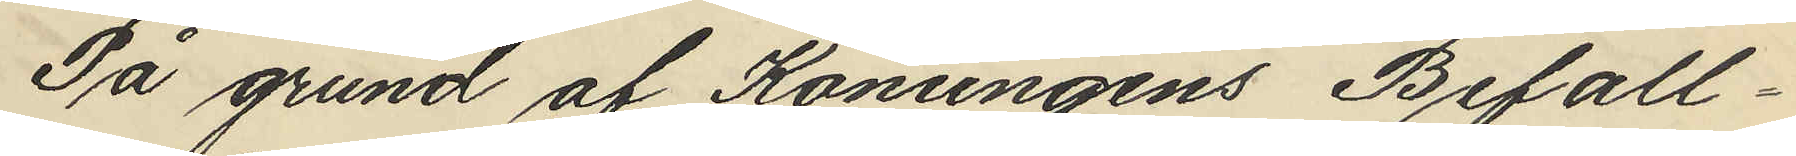På grund af Konungens Befall¬
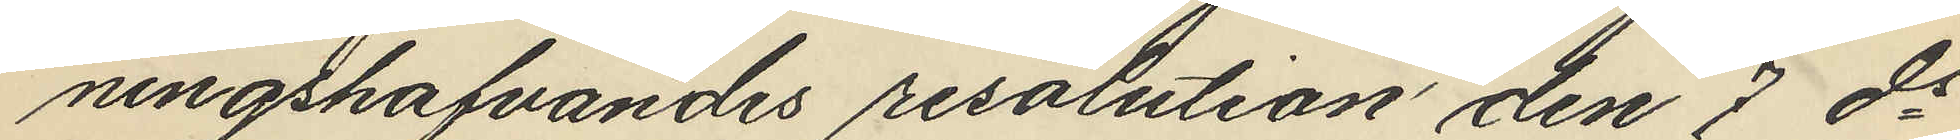ningshafvandes resolution den 7 ds
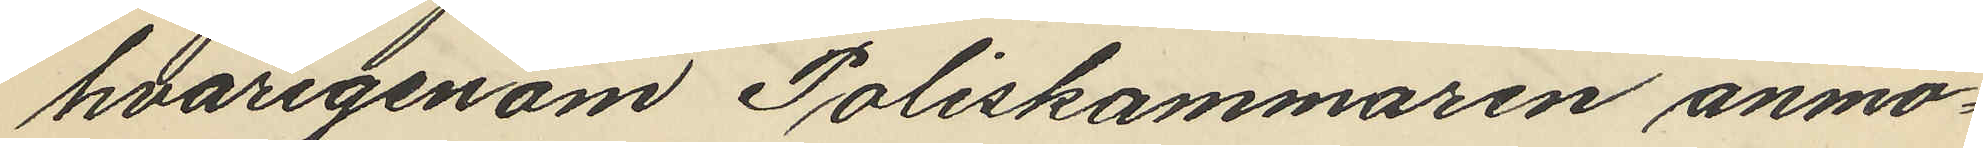hvarigenom Poliskammaren anmo¬
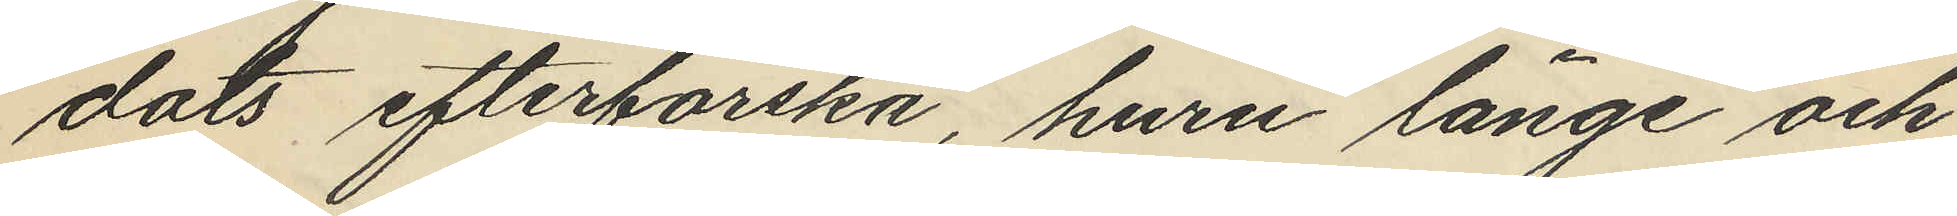dats efterforska, huru länge och
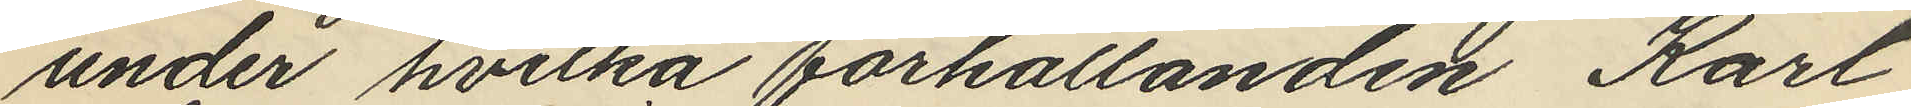under hvilka förhållanden Karl
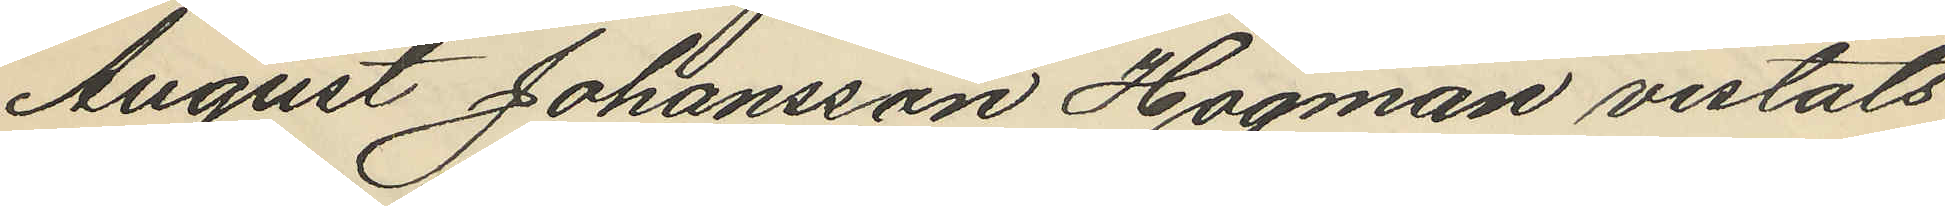August Johansson Högman vistats
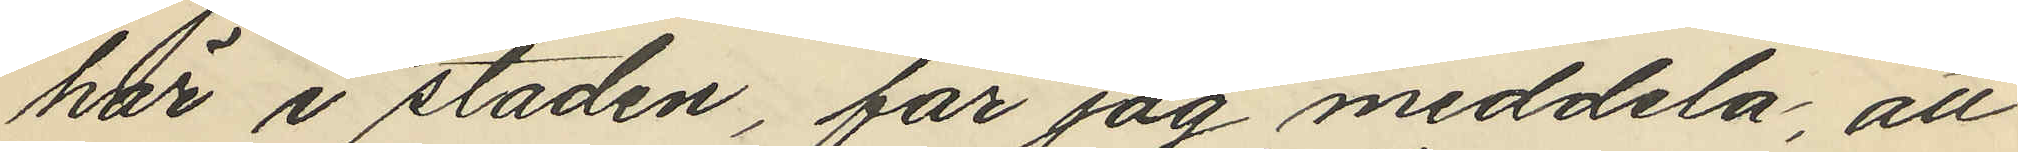här i staden, får jag meddela, att
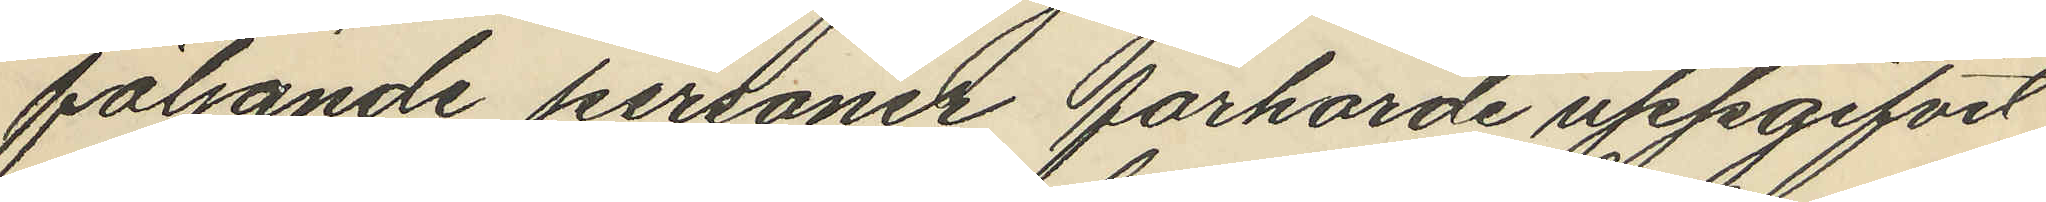följande personer förhörde uppgifvit
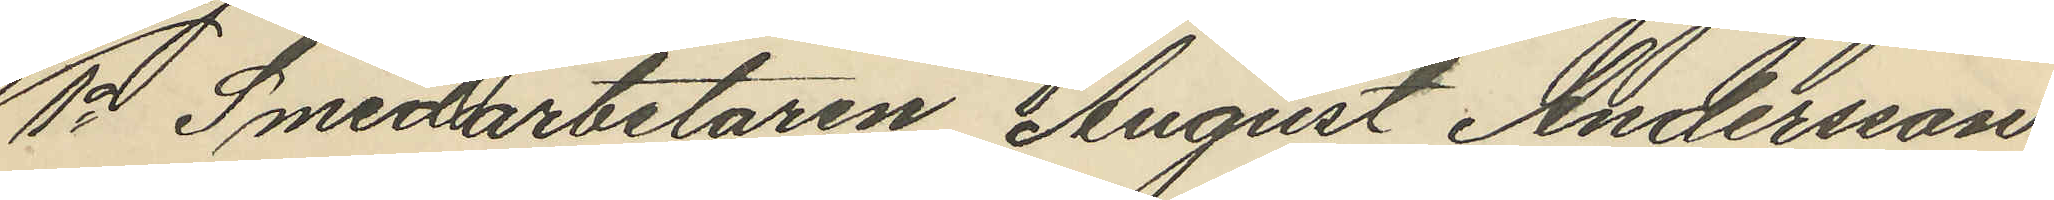1o Smedarbetaren August Andersson
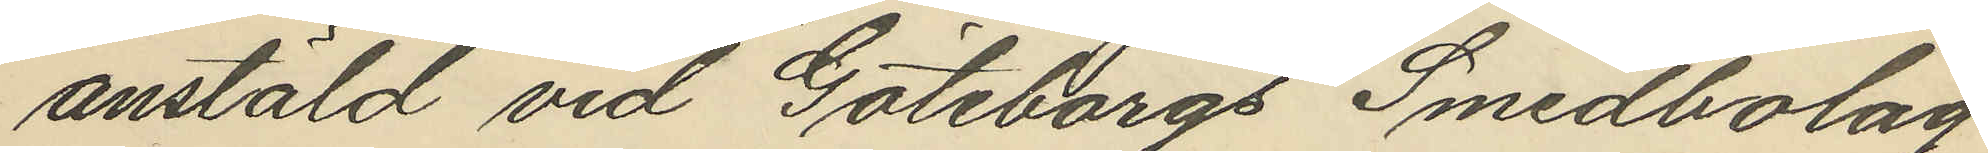anstäld vid "Göteborgs Smedbolag"
